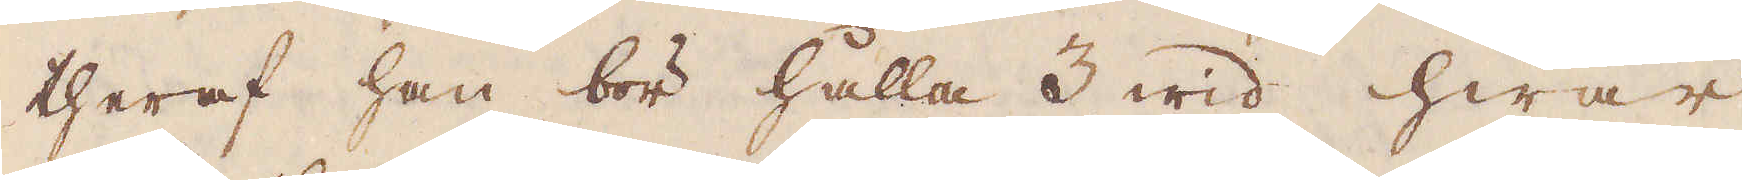theraf han bör hålla 3 wid hwar
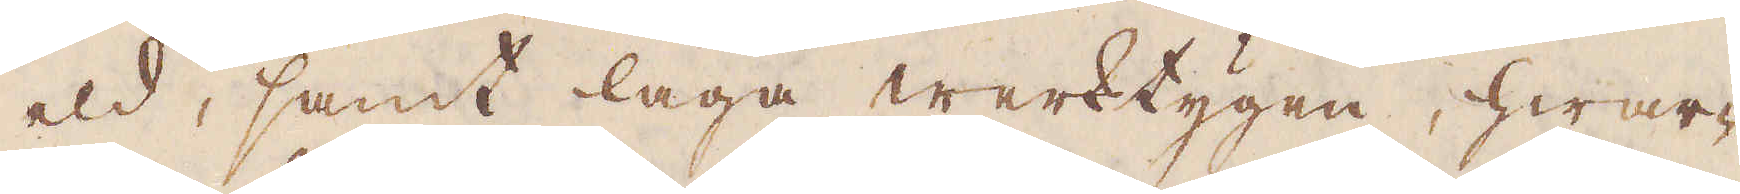eld, samt laga werktygen, hwar-
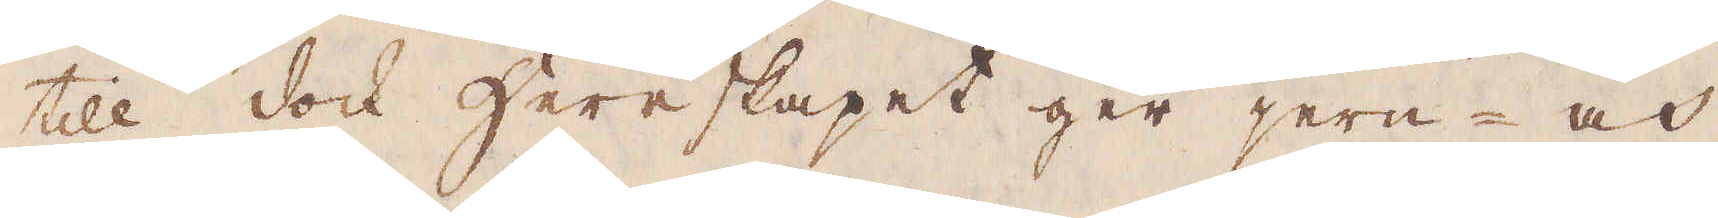till dock hereskapet ger jern- och
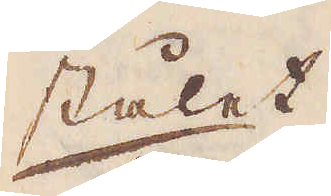stålet.
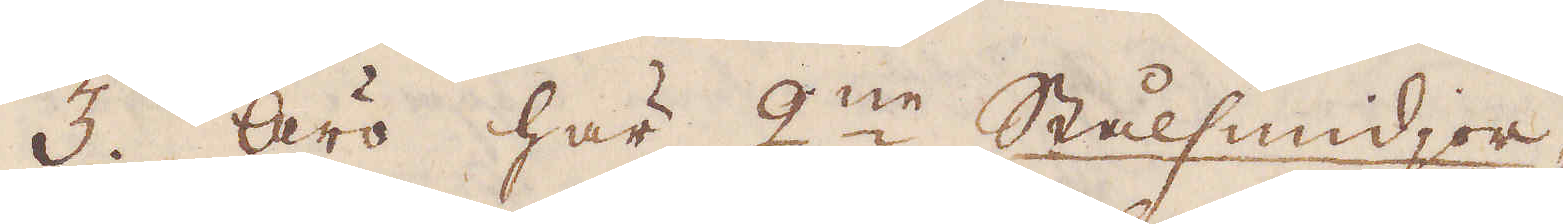3. Äro här 2:ne Stålsmidjor,
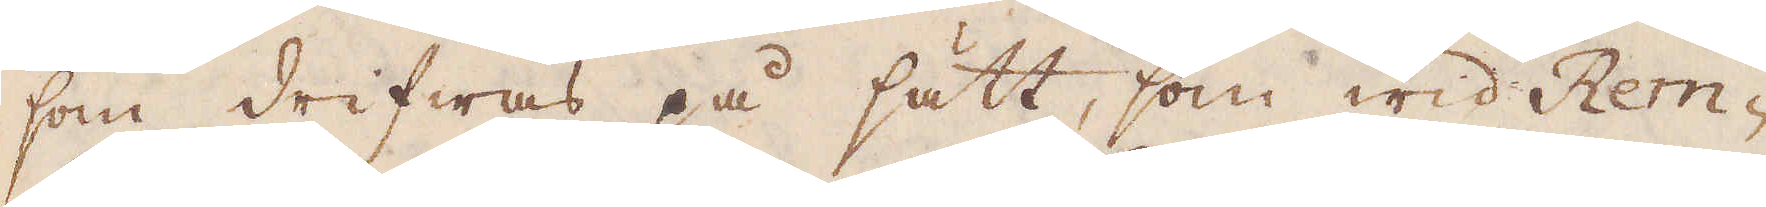som drifwas på sätt, som wid Rem-
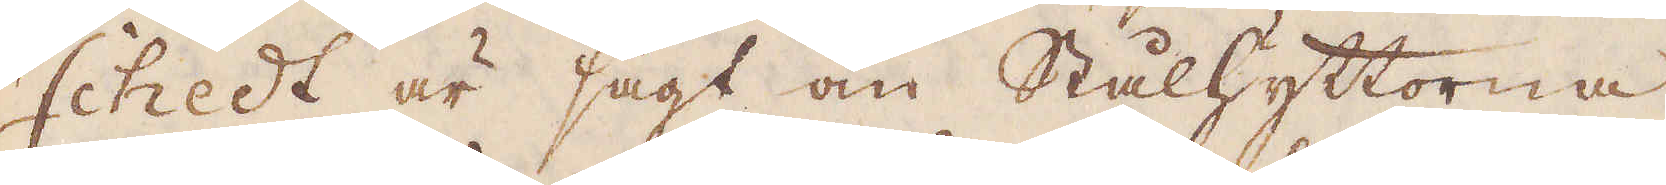schedt är sagt om Stålhyttorna,
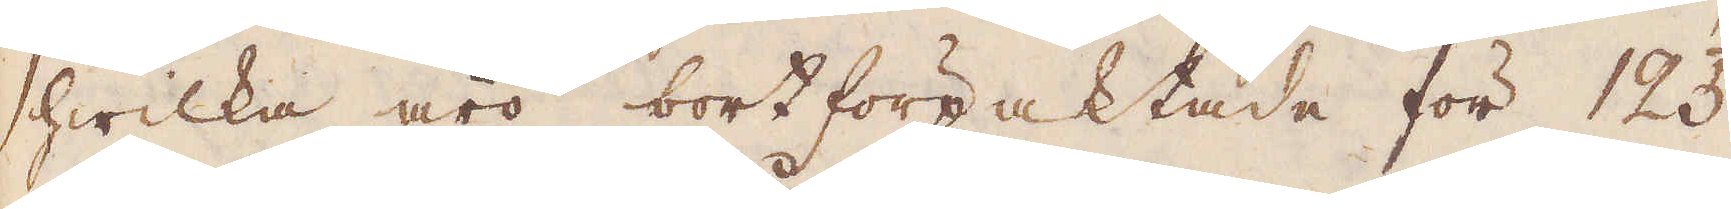hwilka äro bortförpaktade för 125
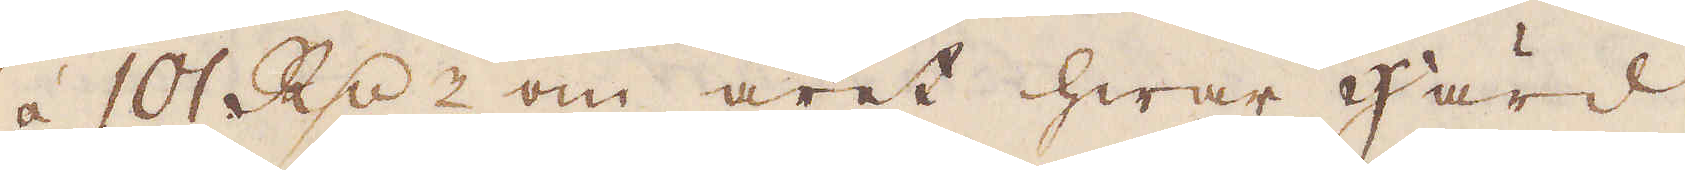à 101 R:dr om året hwar Härd,
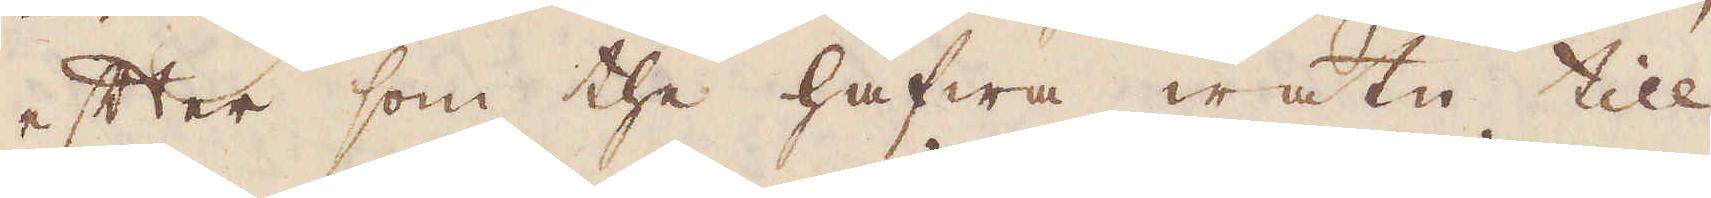efter som the hafwa watn till.
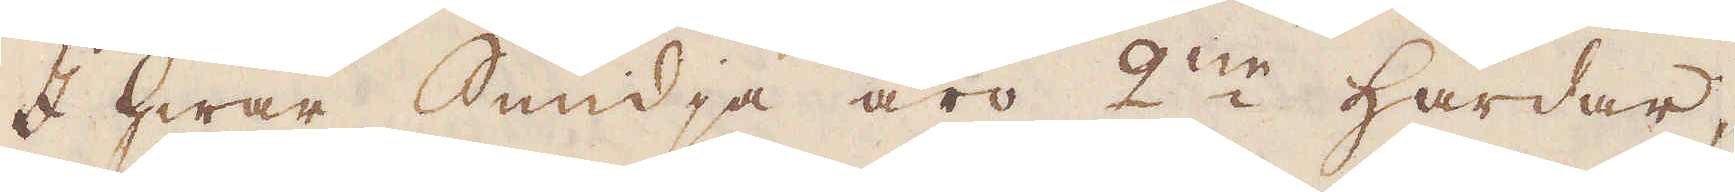I hwar Smidja äro 2:ne Härdar,
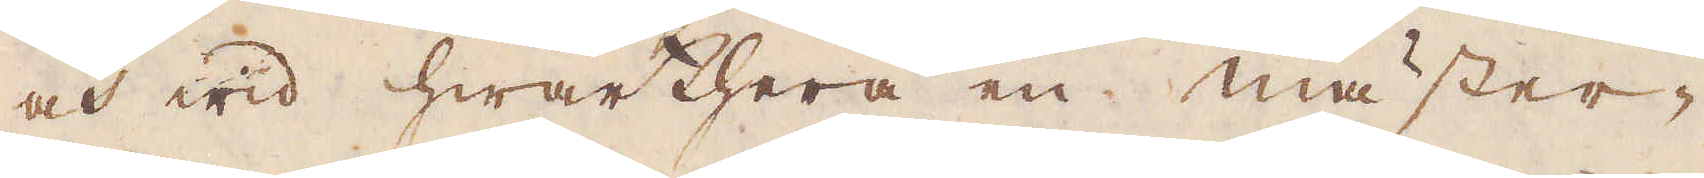och wid hwarthera en mäster-
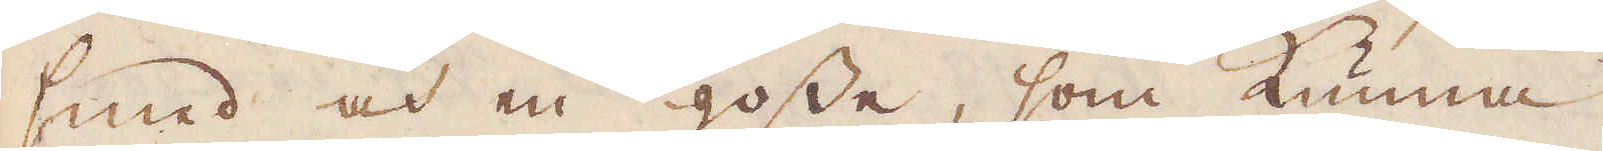smed och en gosse, som kunna
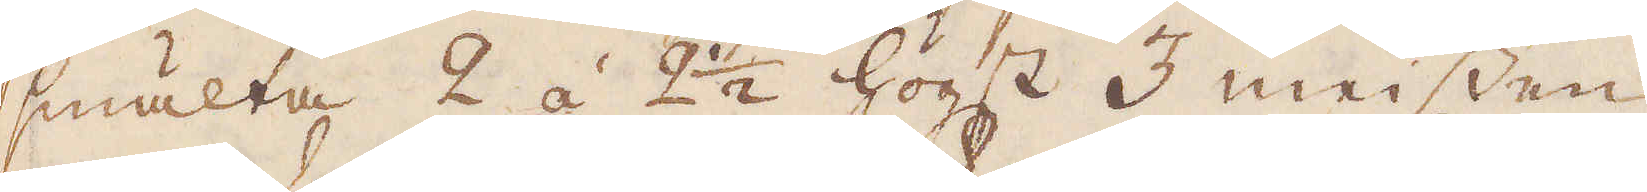smälta 2 á 2 1/2 högst 3 meissen
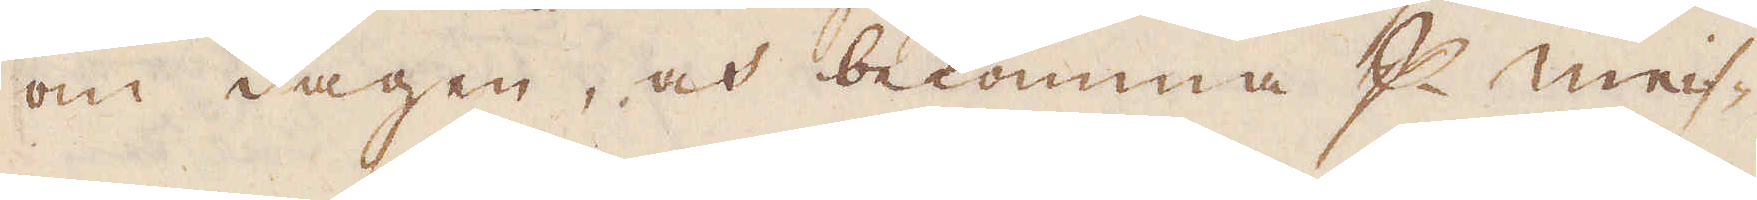om dagen, och bekomma p Meis-
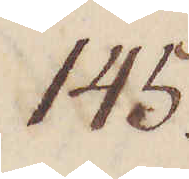145.
